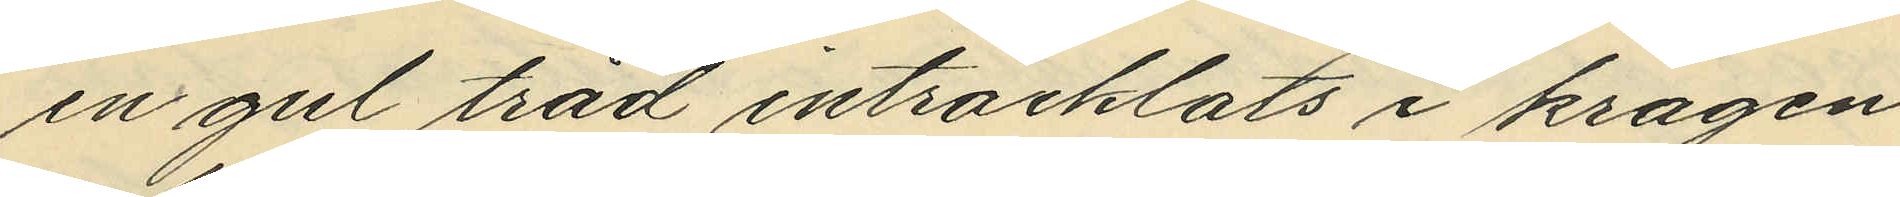en gul tråd intråcklats i kragen.
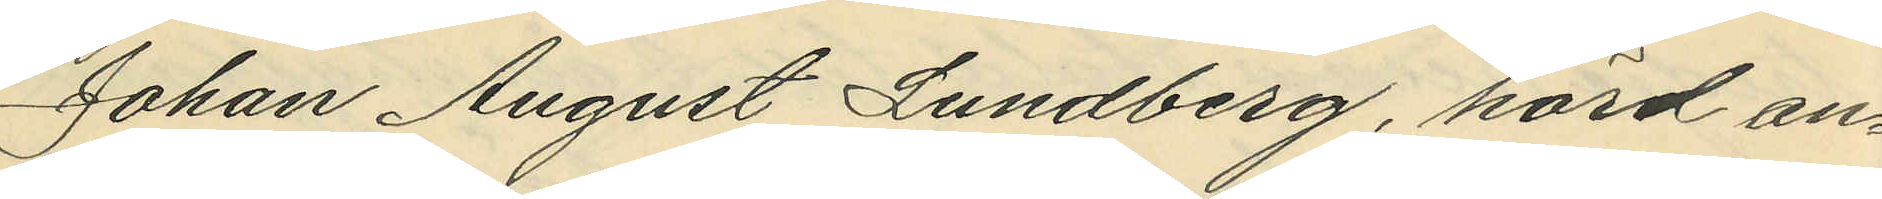Johan August Lundberg, hörd an¬
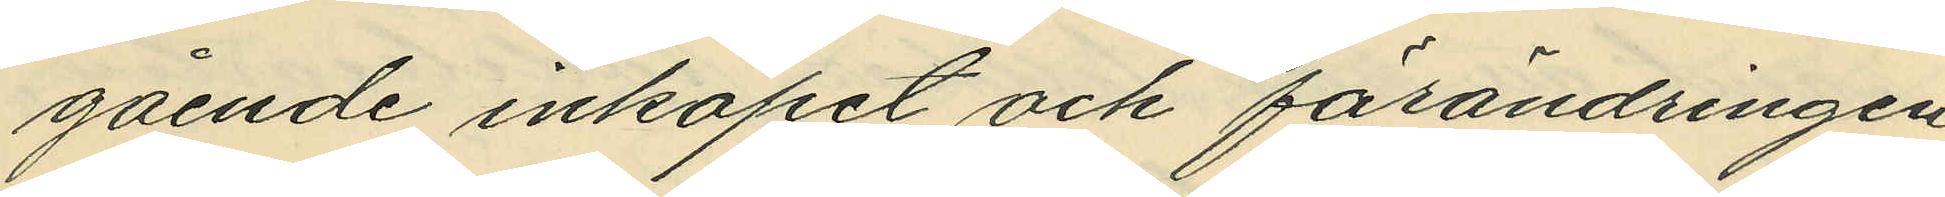gående inköpet och förändringen
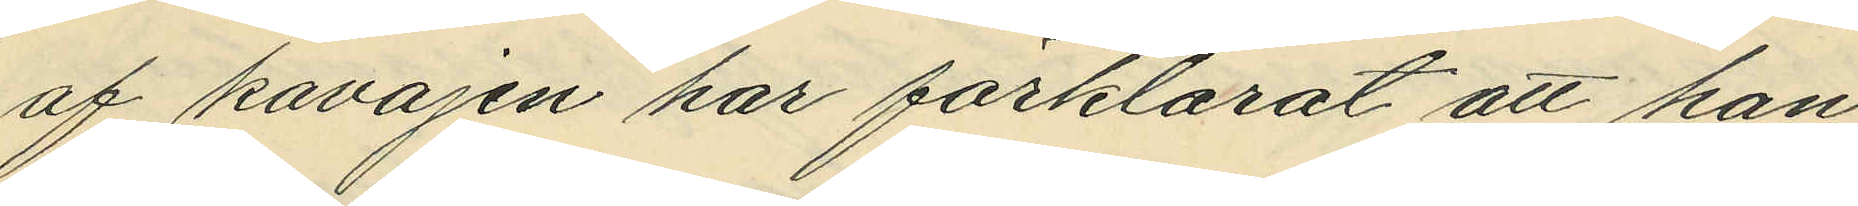af kavajen har förklarat att han
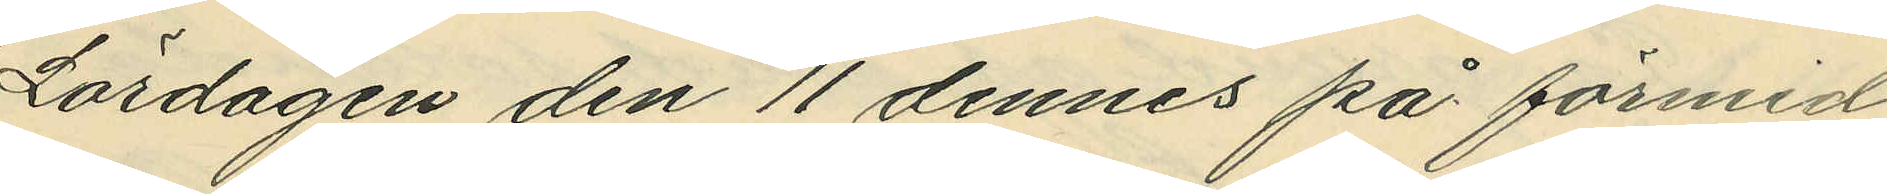Lördagen den 11 dennes på förmid¬
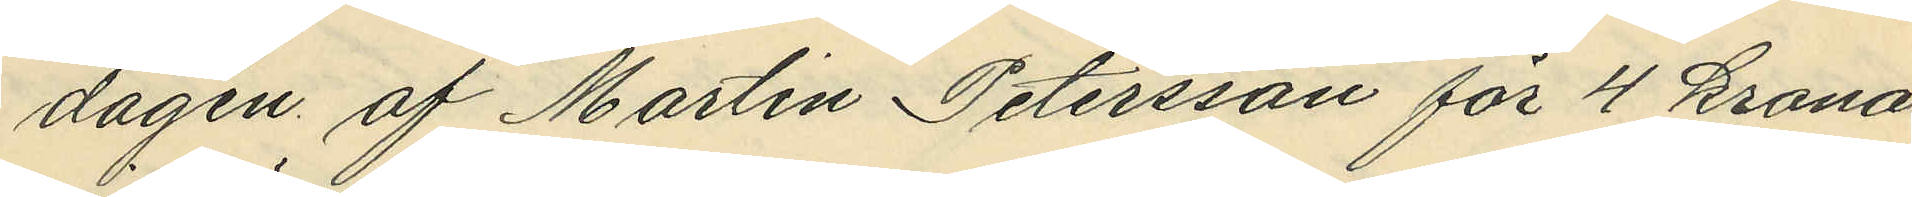dagen af Martin Petersson för 4 kronor
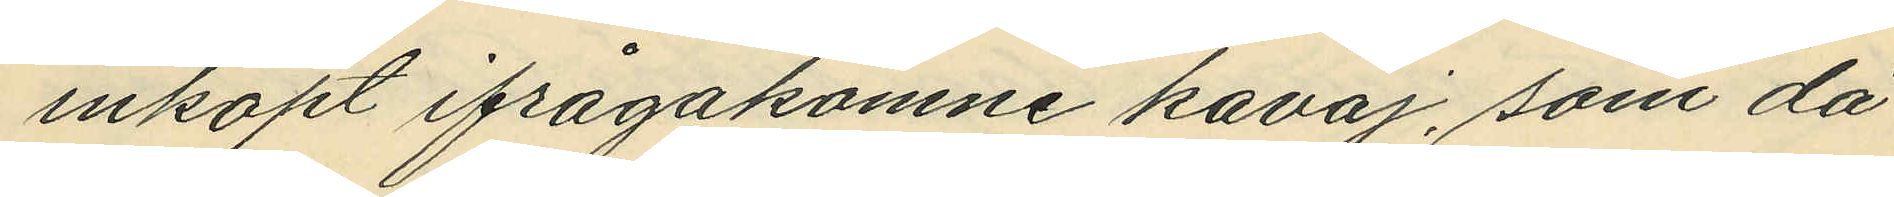inköpt ifrågakomne kavaj, som då
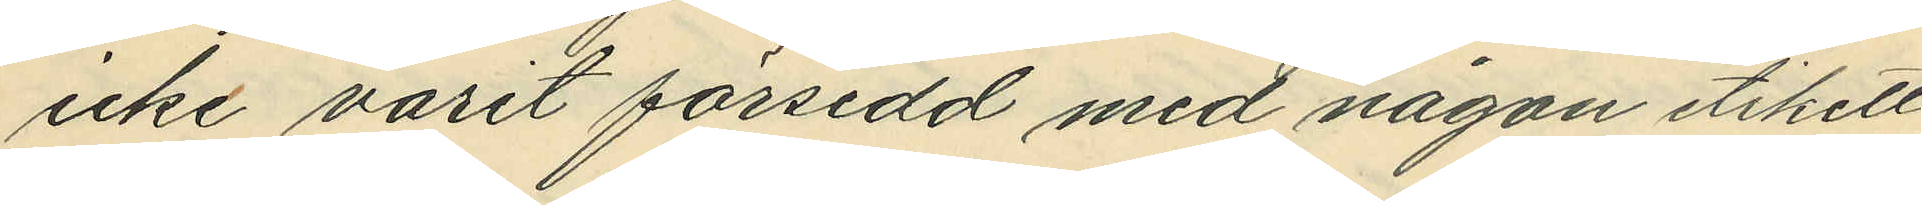icke varit försedd med någon etikett
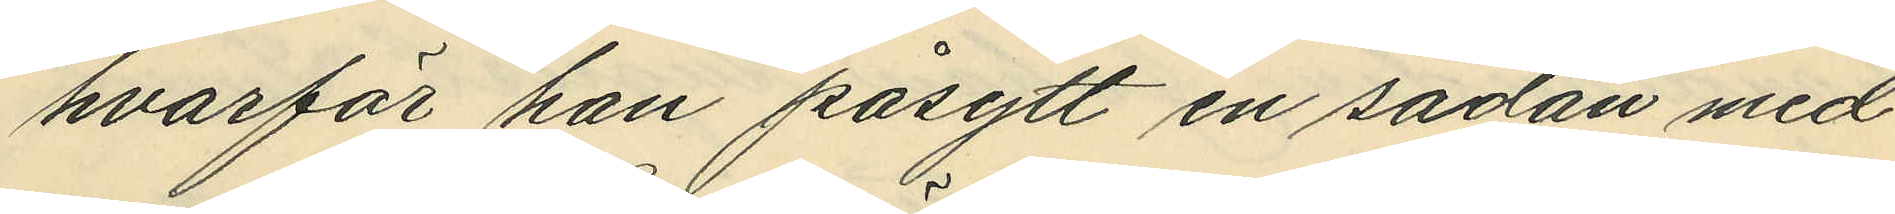hvarför han påsytt en sådan med
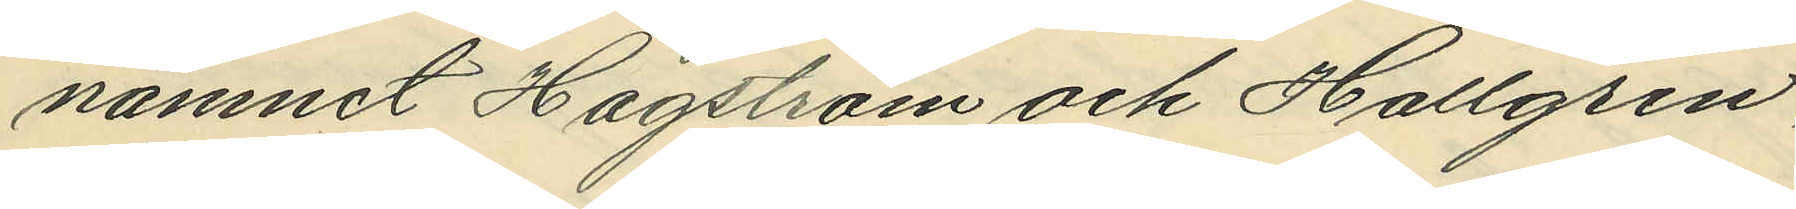namnet Hagström och Hallgren,
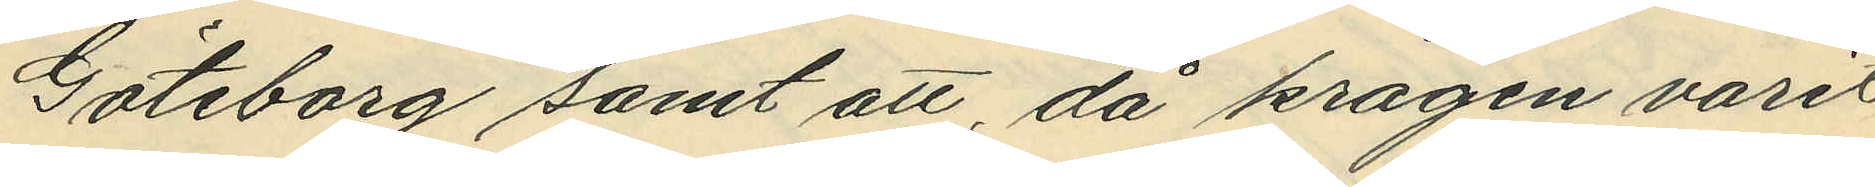Göteborg samt att, då kragen varit
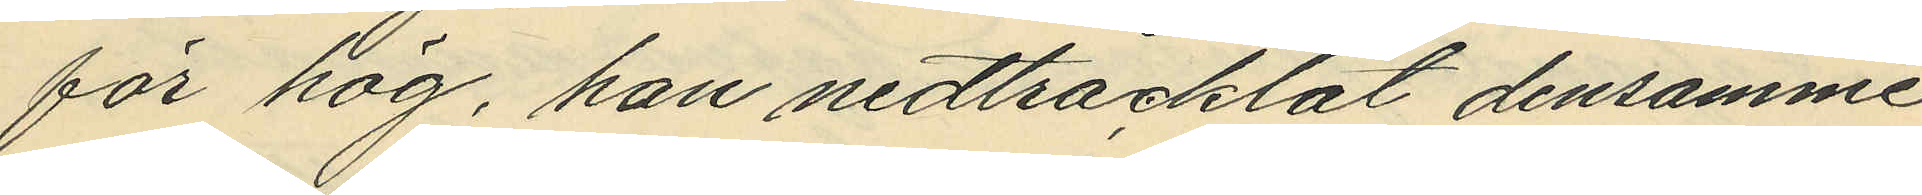för hög, han nedtråcklat densamme.
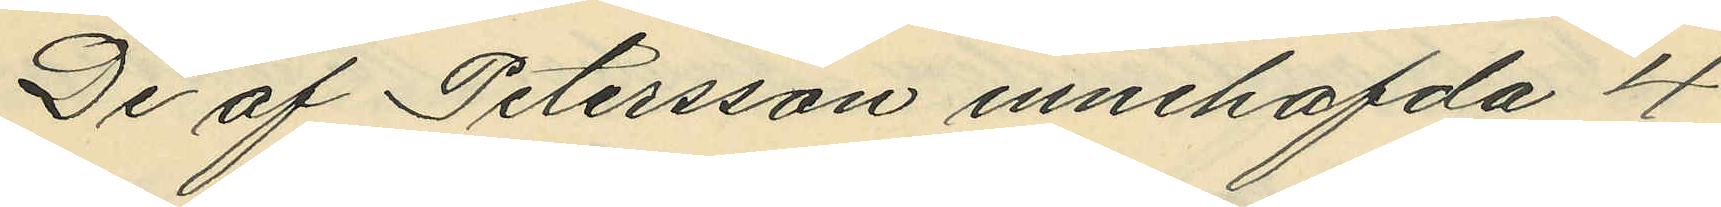De af Petersson innehafda 4
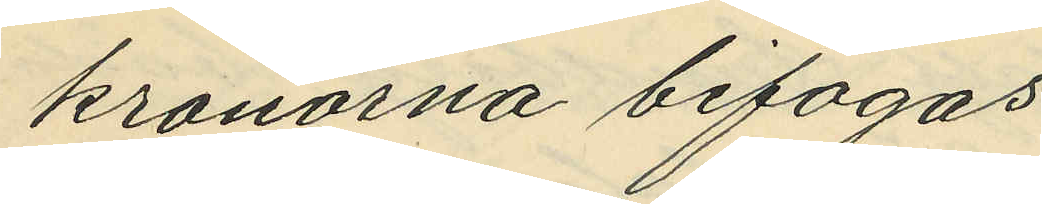kronorna bifogas.
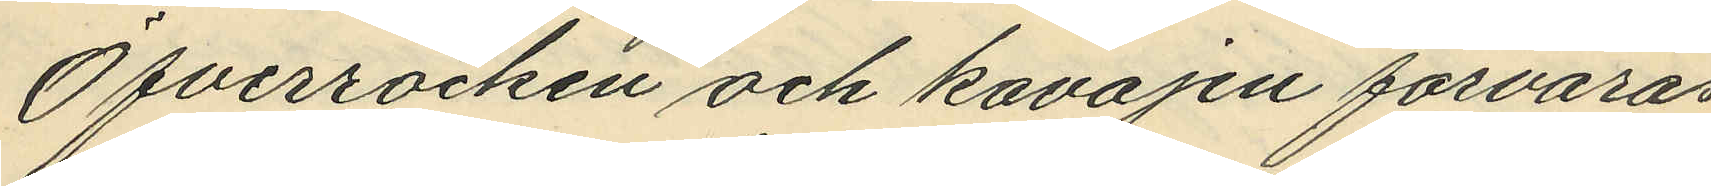Öfverrocken och kavajen förvaras
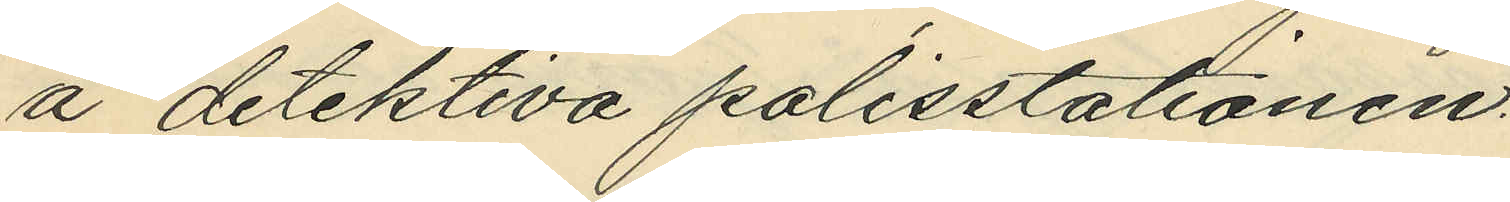å detektiva polisstationen.
